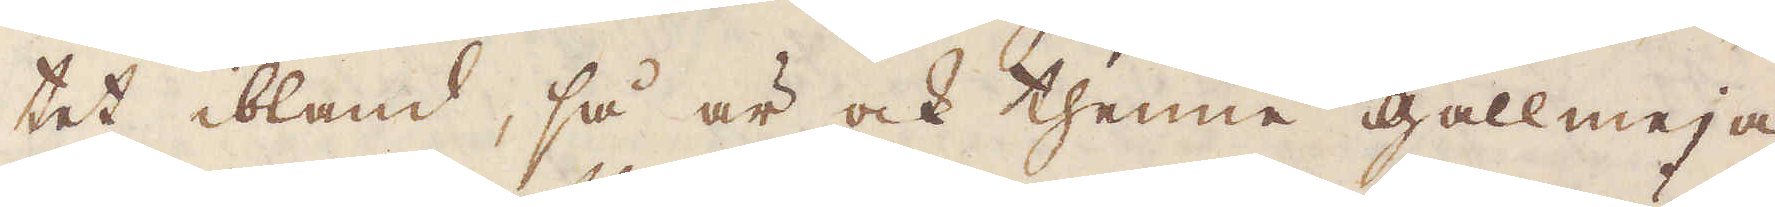tet ibland, så är ock thenne gallmeja
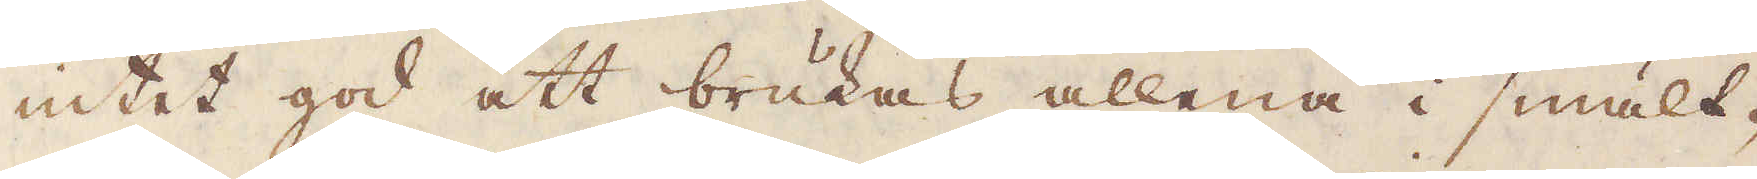intet god att brukas allena i smält-
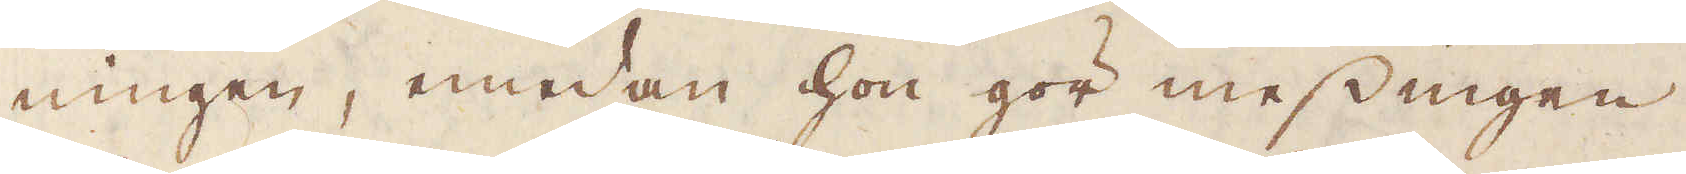ningen, emedan hon gör messingen
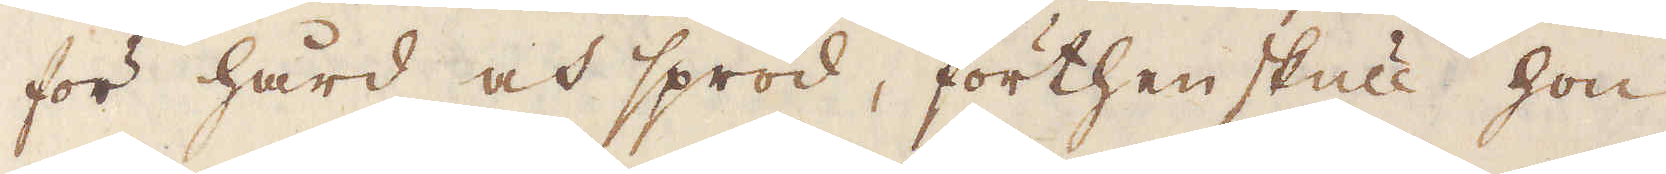för hård och spröd; förthenskull hon
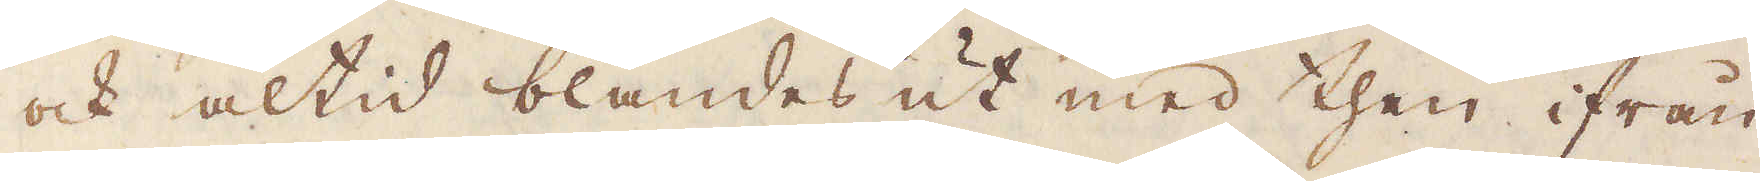och altid blandes ut med then ifrån
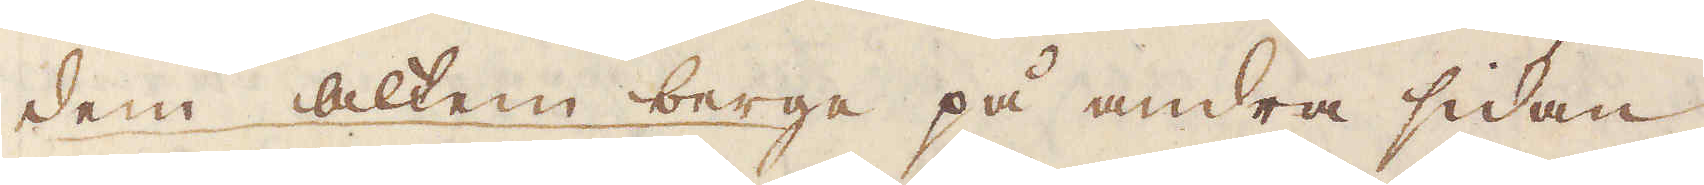dem Altem berge på andra sidan
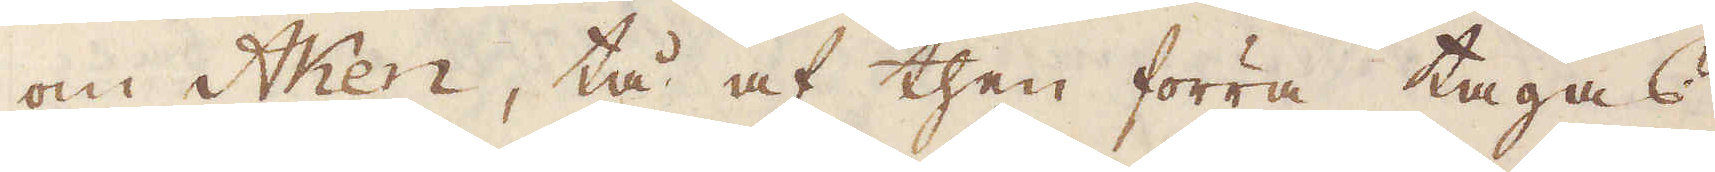om Aken, tå af then förra tagas
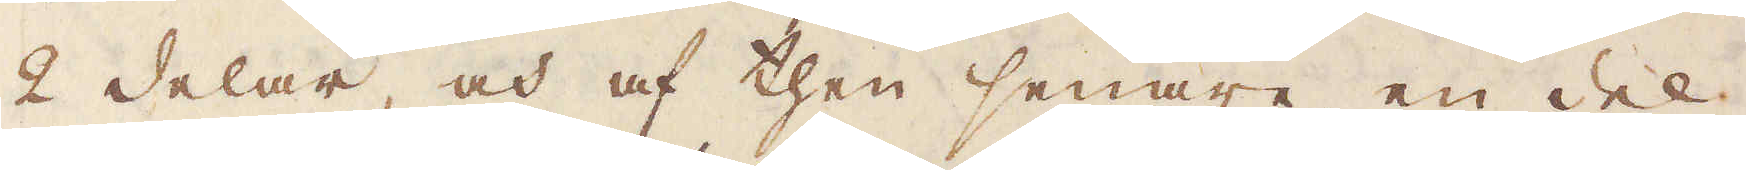2 delar, och af then senare en del.
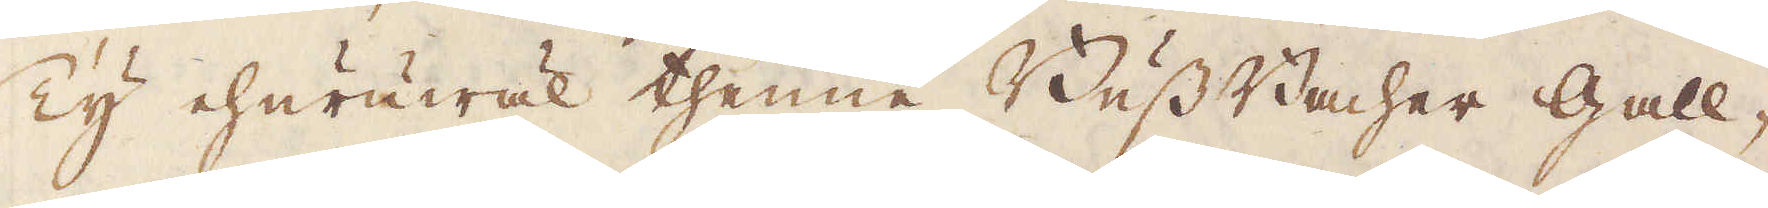Ty ehuruwäl thenne Buss Bacher Gall-
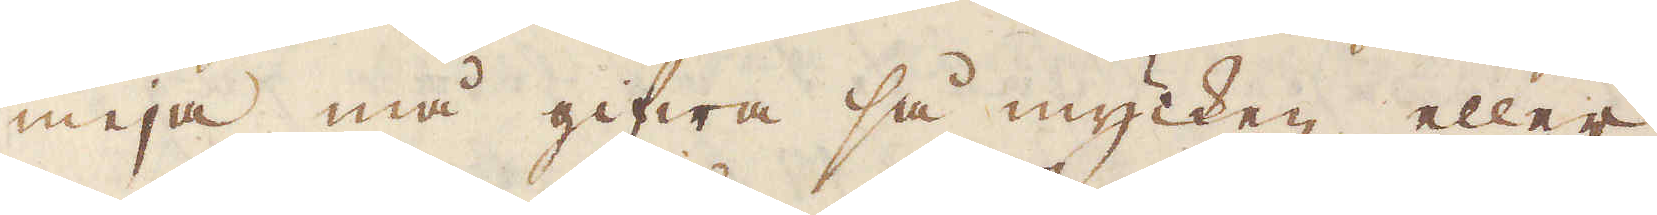meja må gifwa så mycken eller
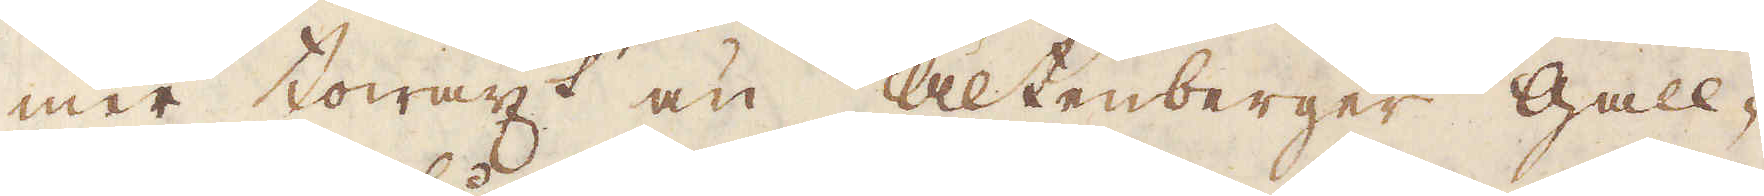mer towäxt än Altenberger Gall-
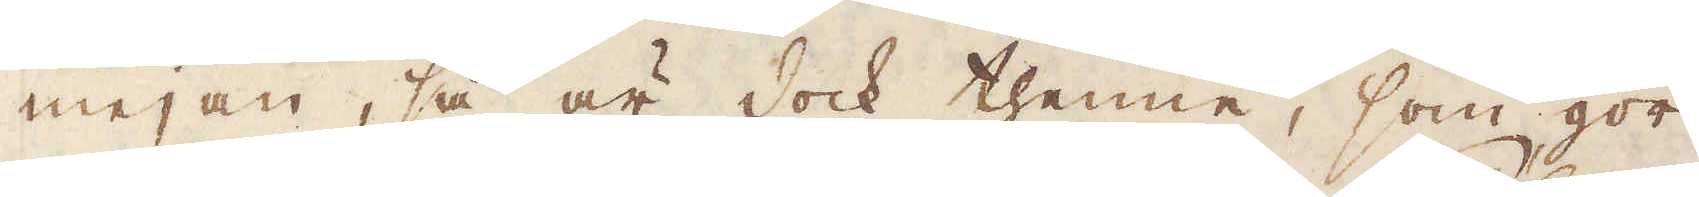mejan, så är dock thenne, som gör
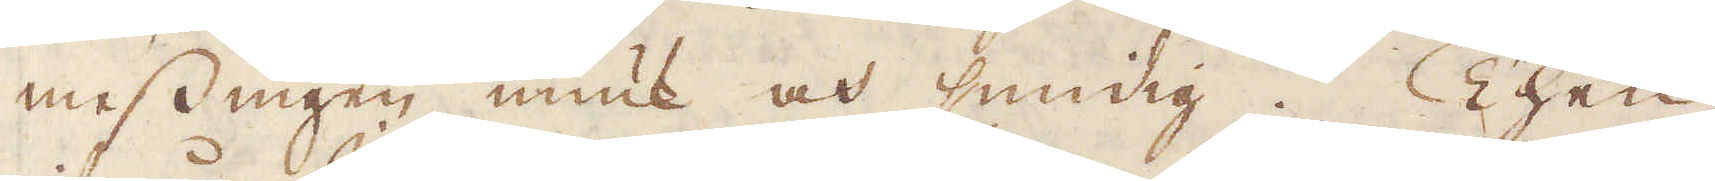messingen miuk och smidig. Then
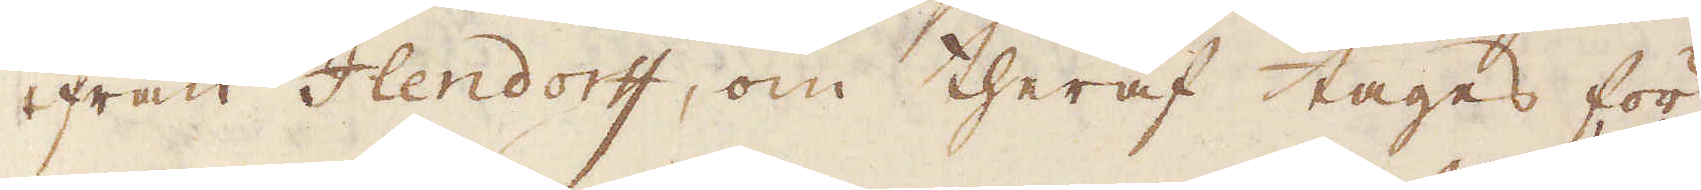ifrån Ilendorff, om theraf tages för
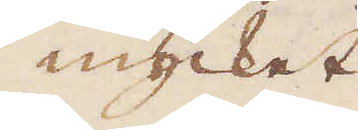mycket
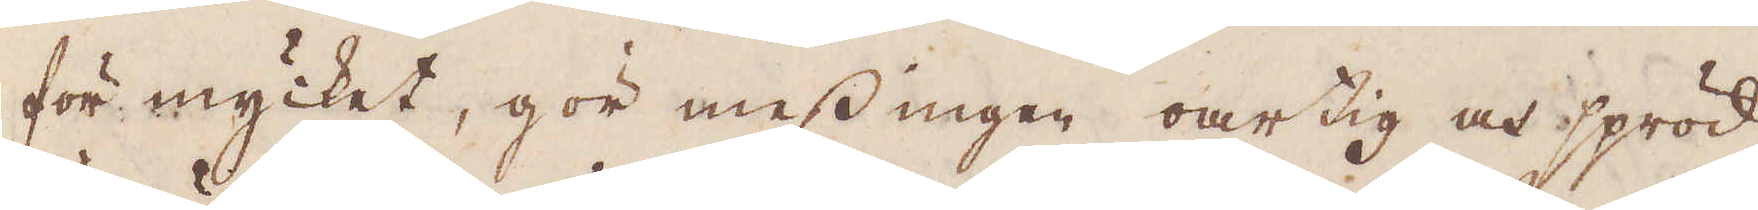för mycket, gör messingen oartig och spröd,
